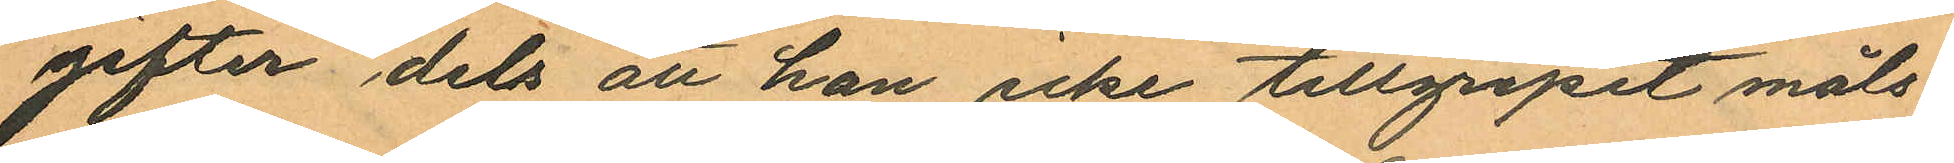gifter dels att han icke tillgripit måls¬
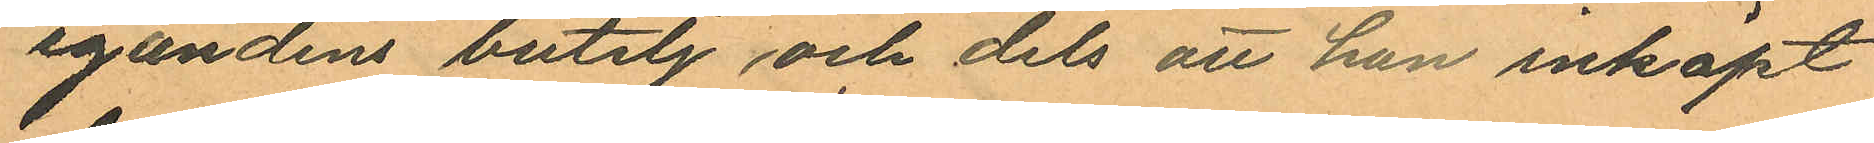egandens butelj och dels att han inköpt
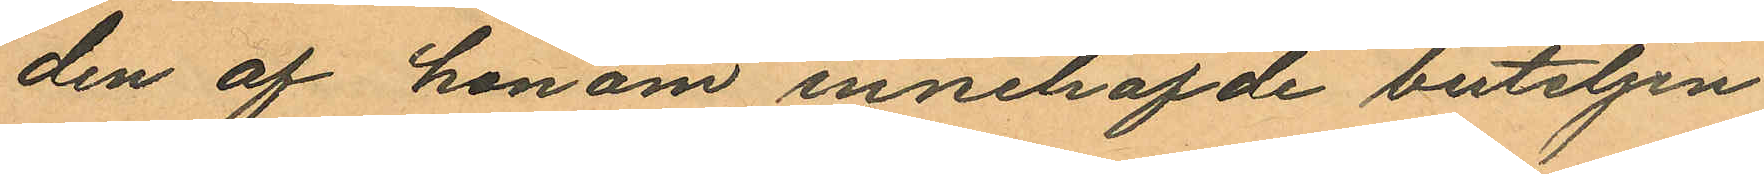den af honom innehafde buteljen.
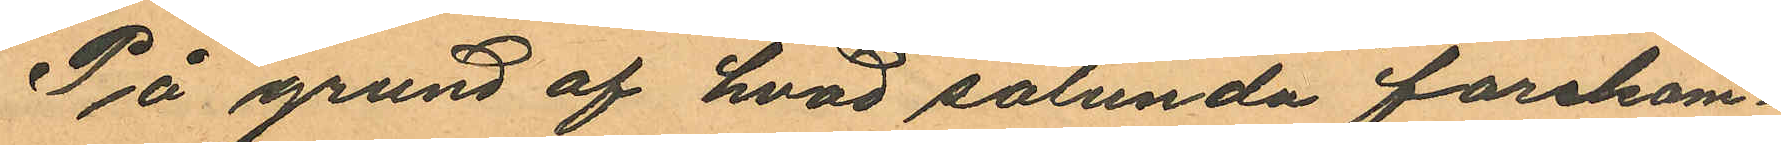På grund af hvad sålunda forekom¬
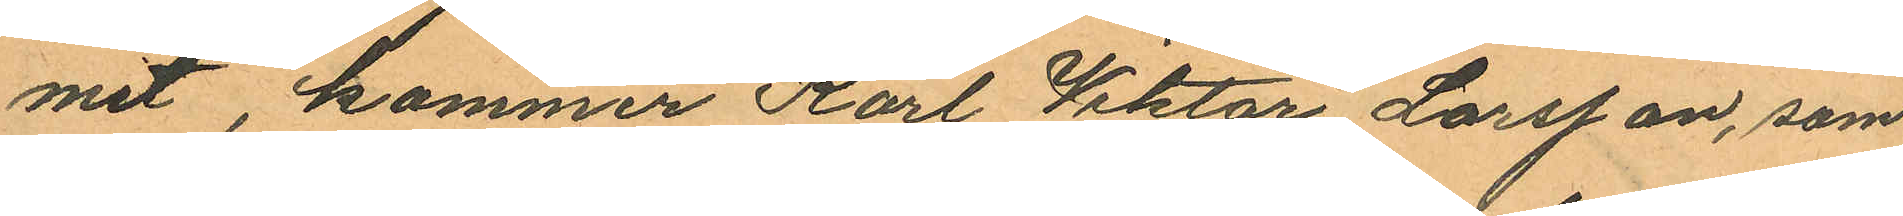mit, kommer Karl Wiktor Larsson, som
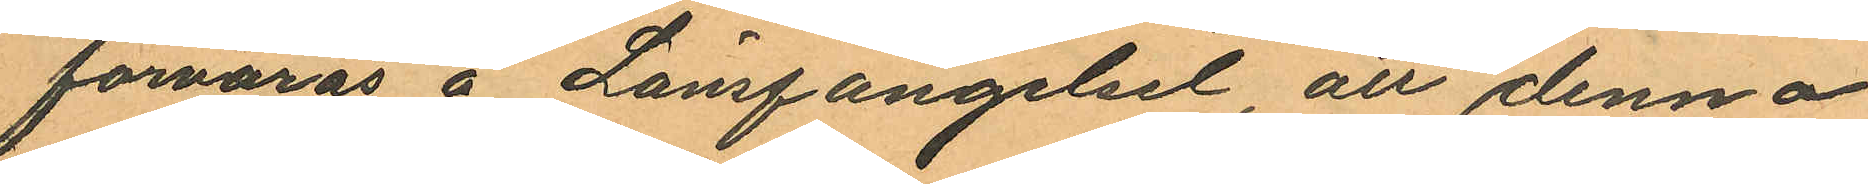förvaras å Länsfängelset, att denna
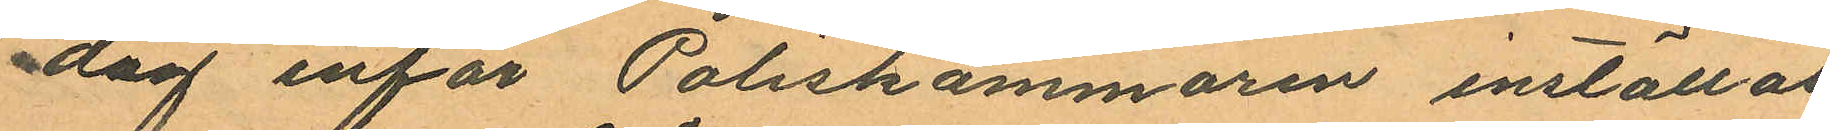dag inför Poliskammaren inställas.
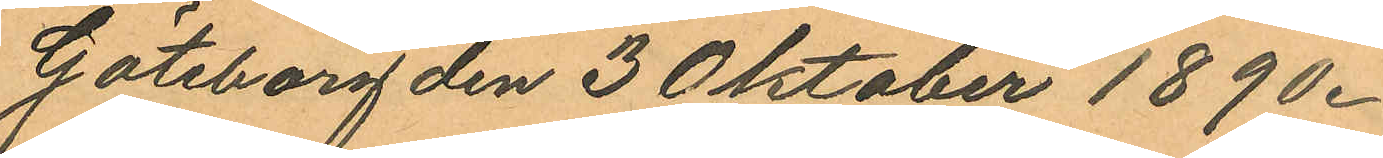Göteborg den 3 Oktober 1890.
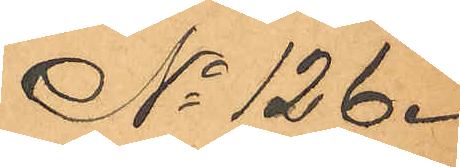No 126.
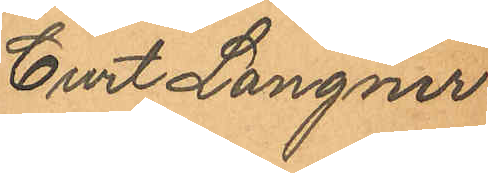Curt Langner
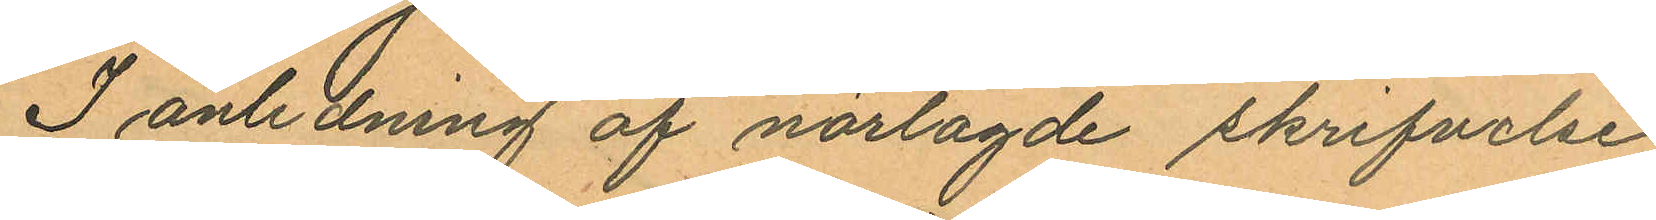I anledning af närlagde skrifvelse
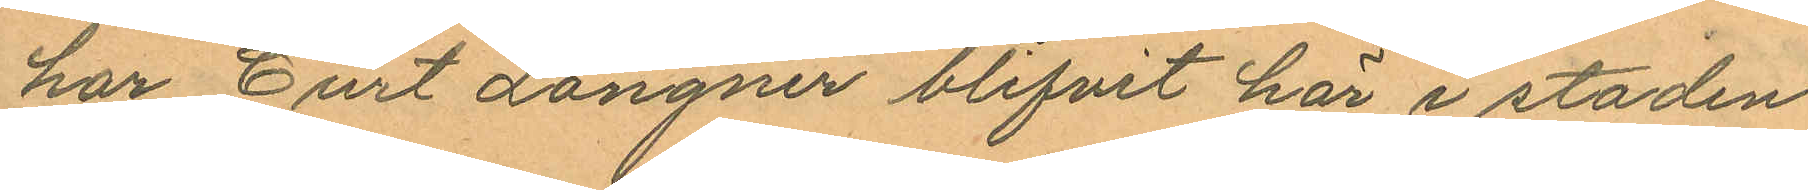har Curt Langner blifvit här i staden
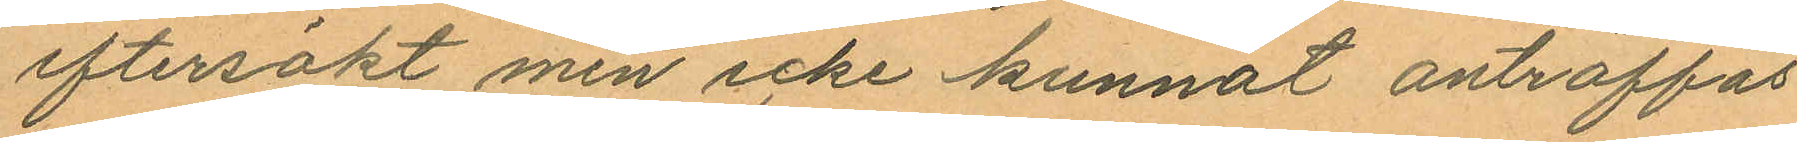eftersökt men icke kunnat anträffas
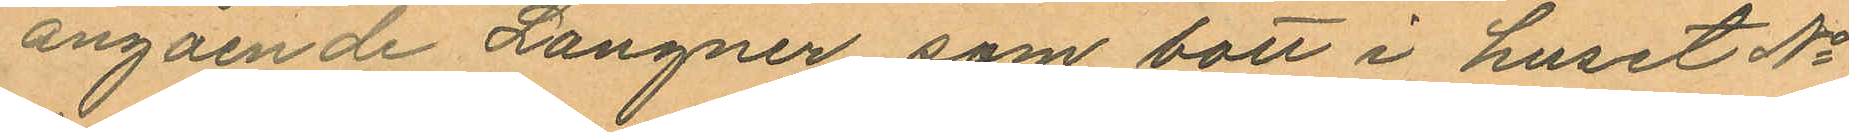angående Langner som bott i huset No
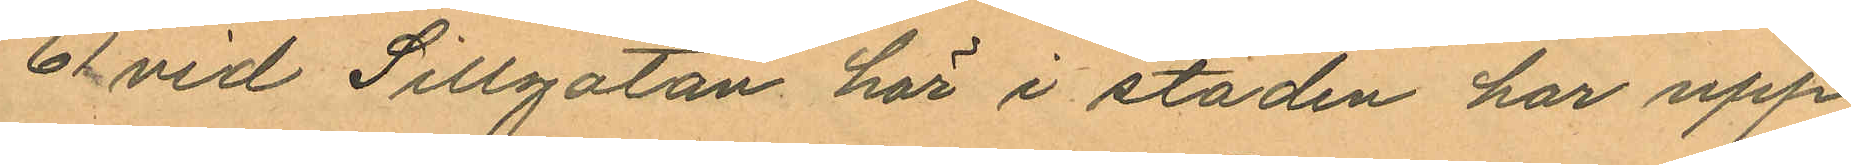61 vid Sillgatan här i staden har upp
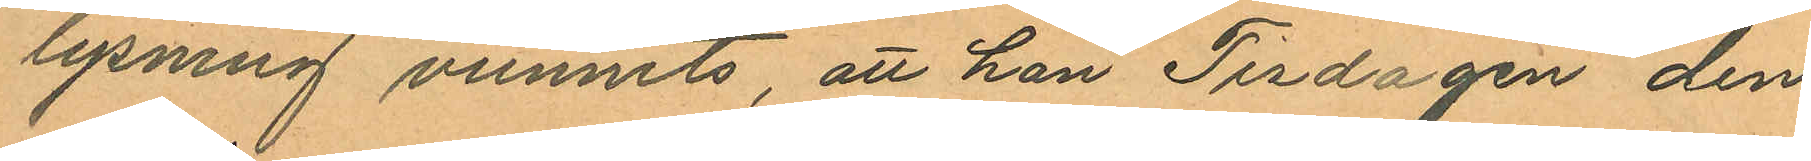lysning vunnits, att han Tisdagen den
